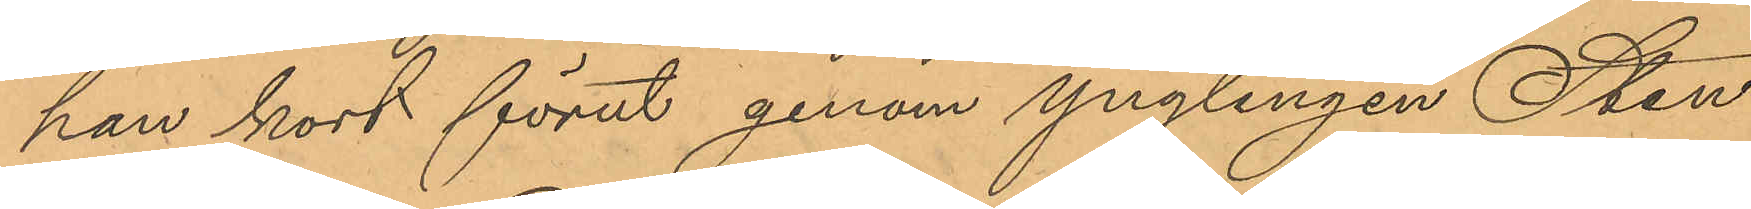han kort förut genom ynglingen Sten
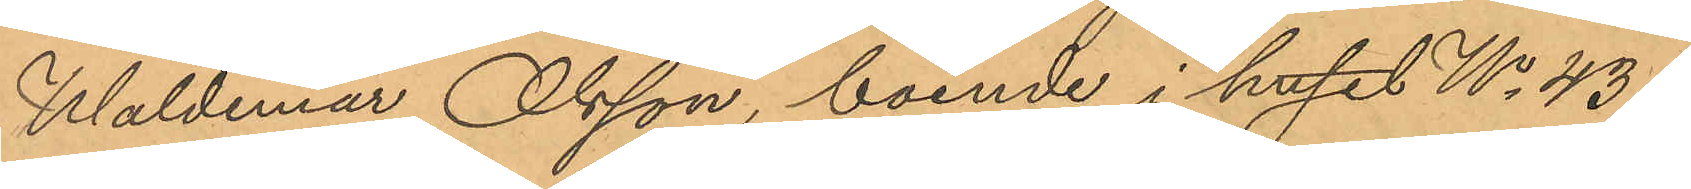Waldemar Olsson, boende i huset No 43 i
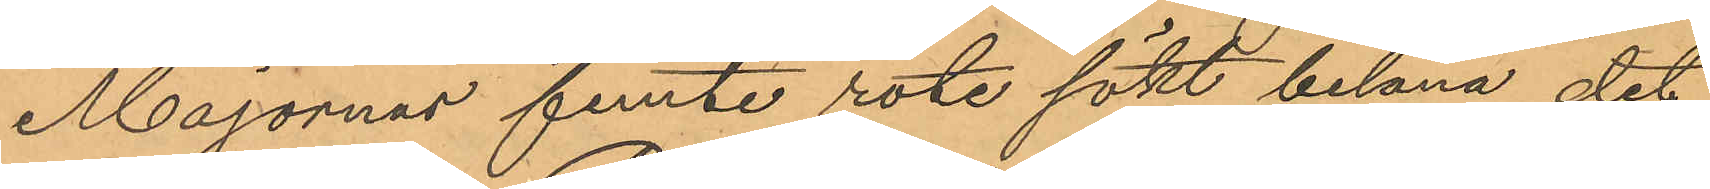Majornas femte rote sökt belåna det
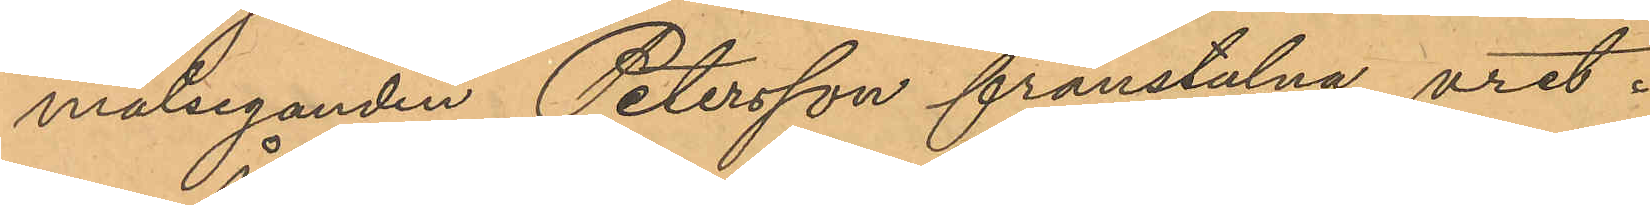målseganden Petersson frånstulna uret.
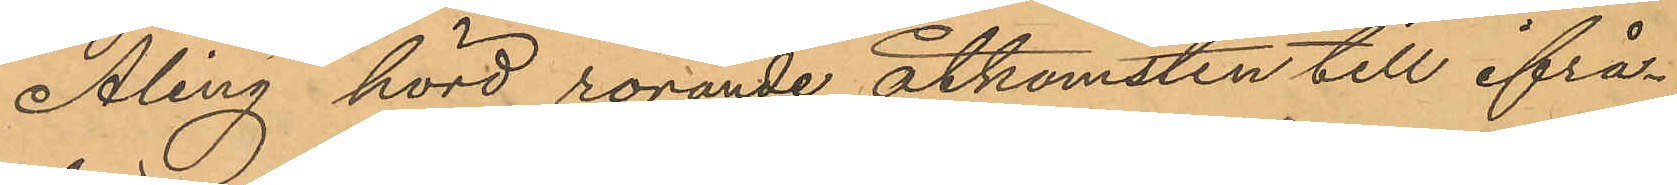Åling hörd rörande åtkomsten till ifrå¬
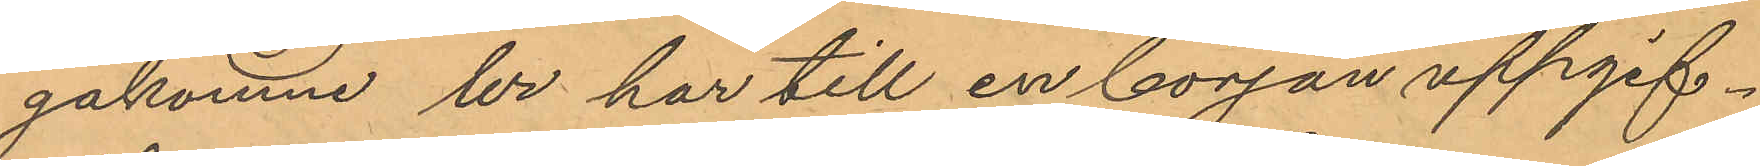gakomne ur har till en början uppgif¬
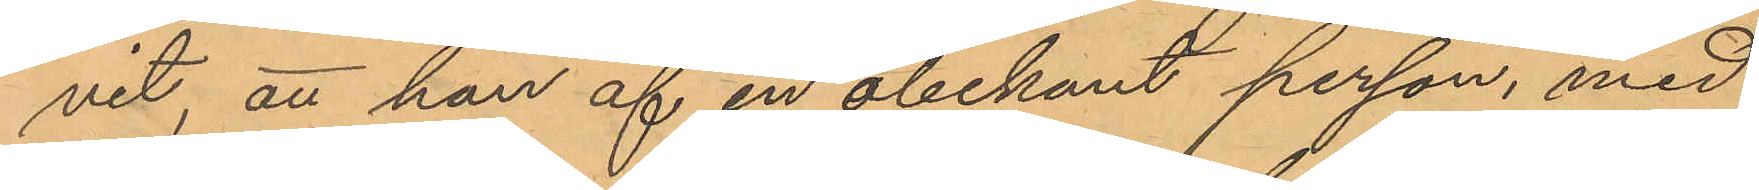vit, att han af en obekant person, med
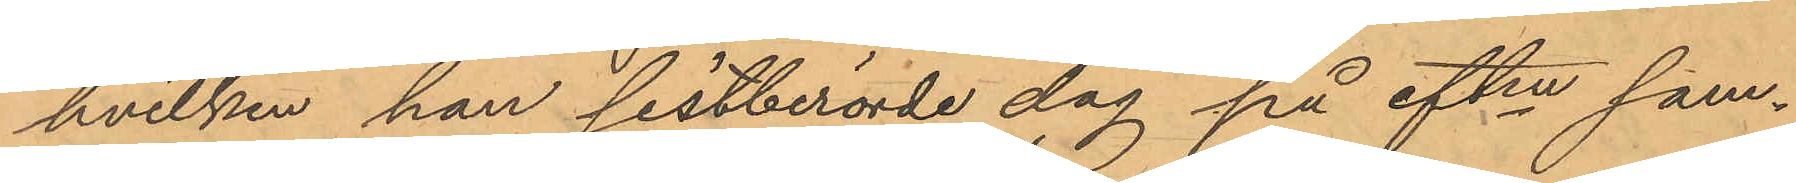hvilken han sistberörde dag på eftm sam¬
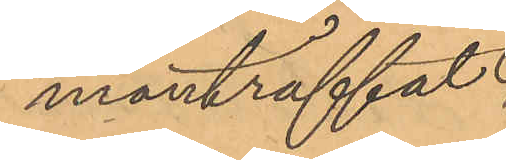manträffat
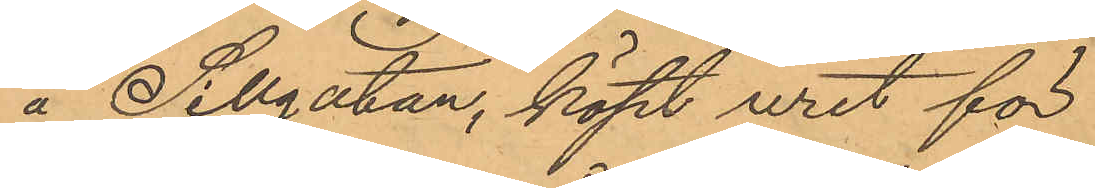å Sillgatan, köpt uret för
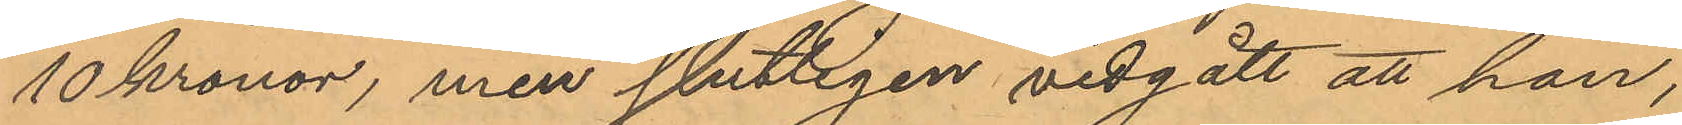10 kronor, men slutligen vidgått att han,
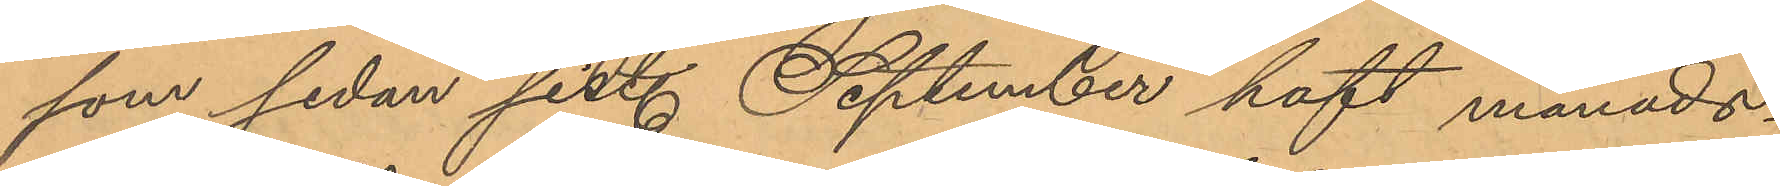som sedan sist. September haft månads¬
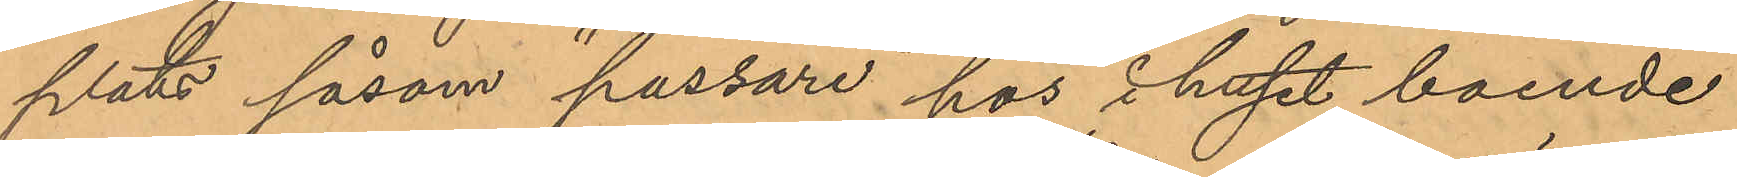plats såsom "passare" hos i huset boende
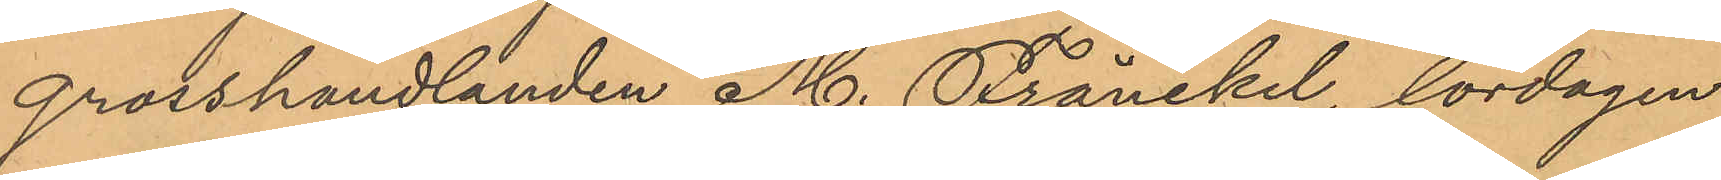grosshandlanden M. Fränckel, lördagen
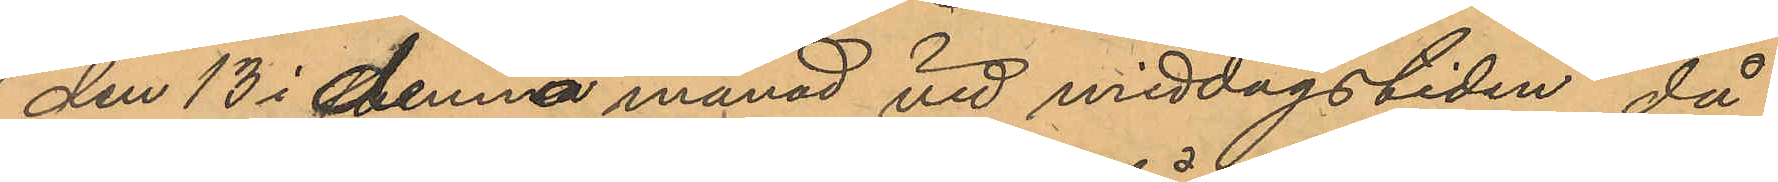den 13 i denna månad vid middagstiden, då
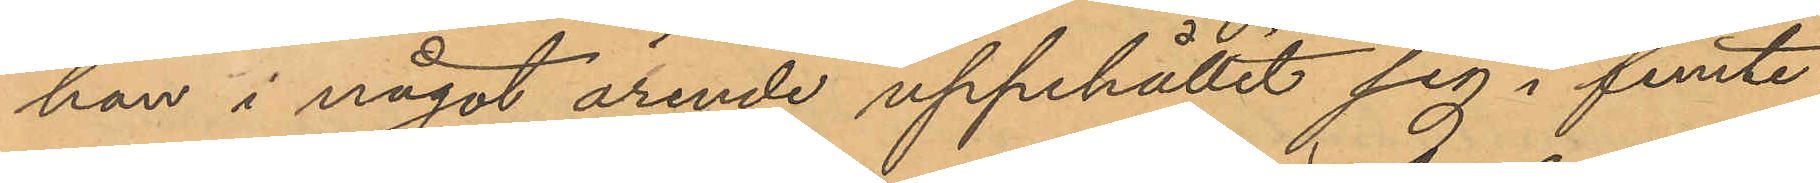han i något ärende uppehållit sig i femte
